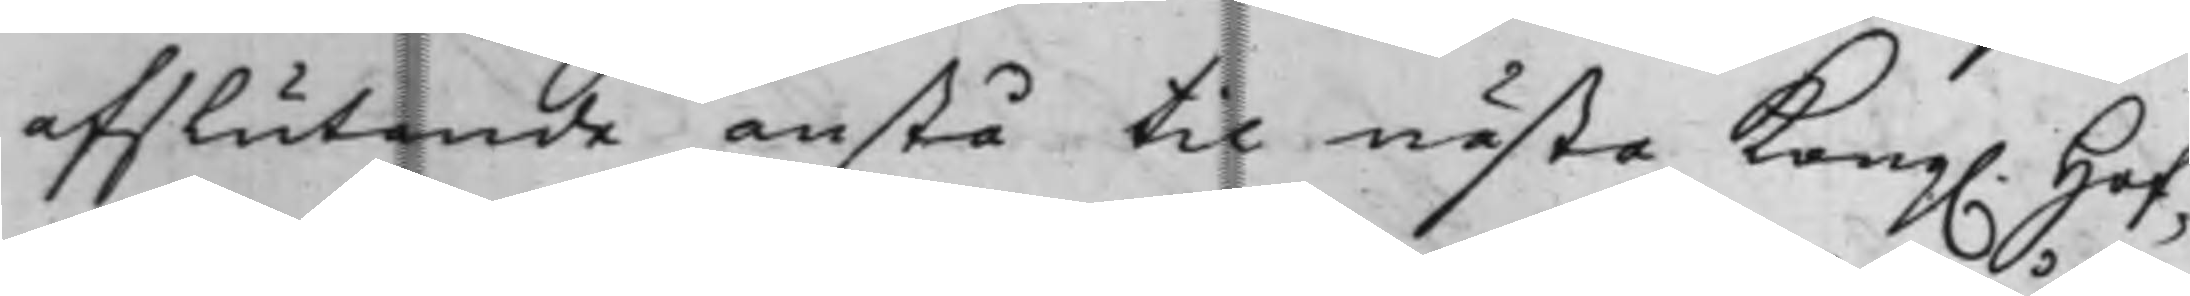afslutande anstå til nästa Kong. Hof¬
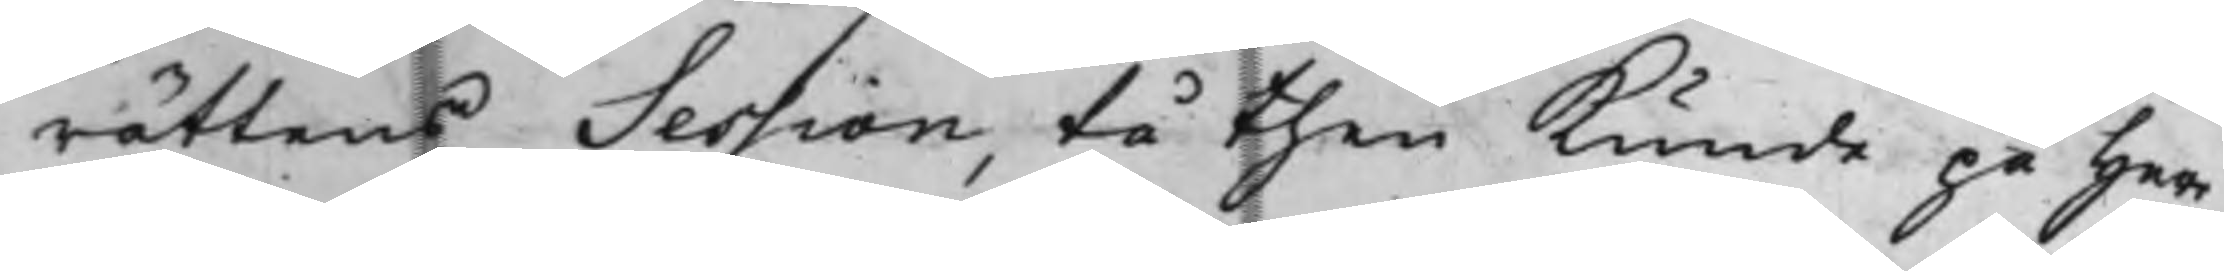rättens Session, tå then kunde på Herr
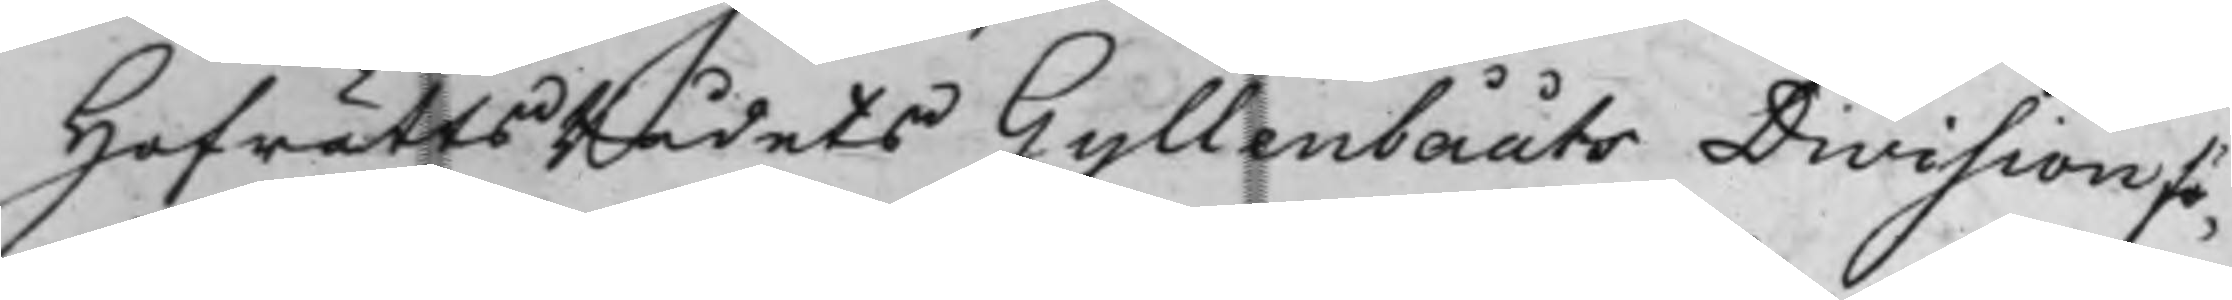HofrättsRådets Gyllenbååts Division fö¬
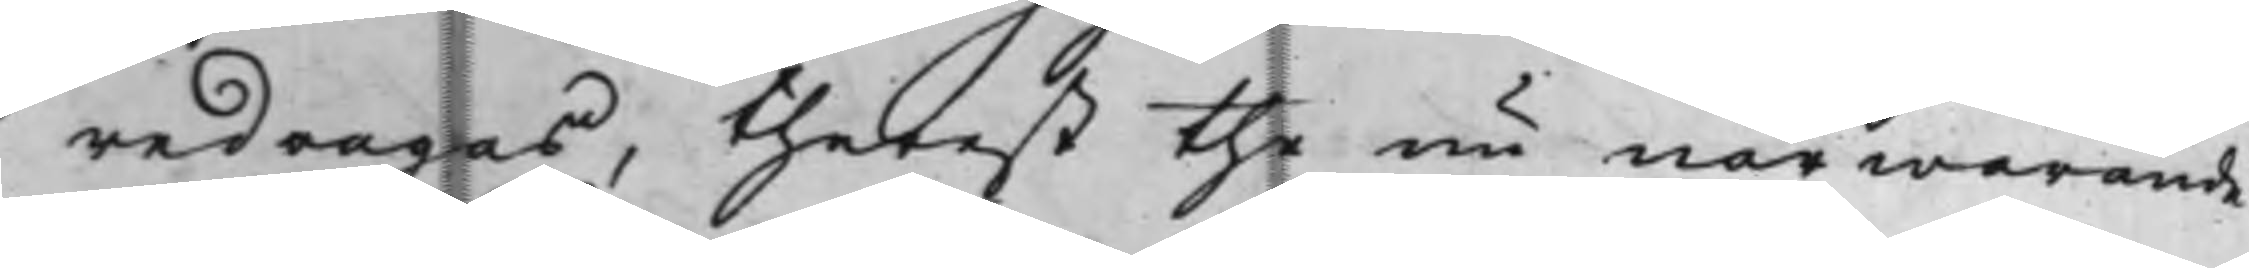redragas, therest the nu närwarande
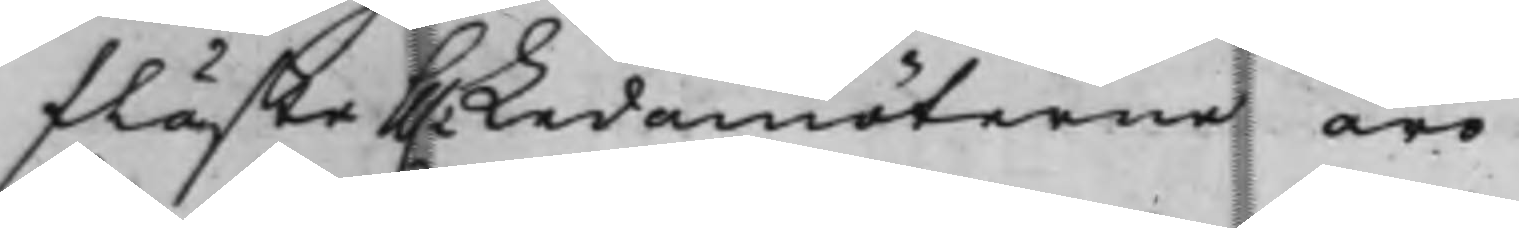fläste Hh.r Ledamöterne äro.
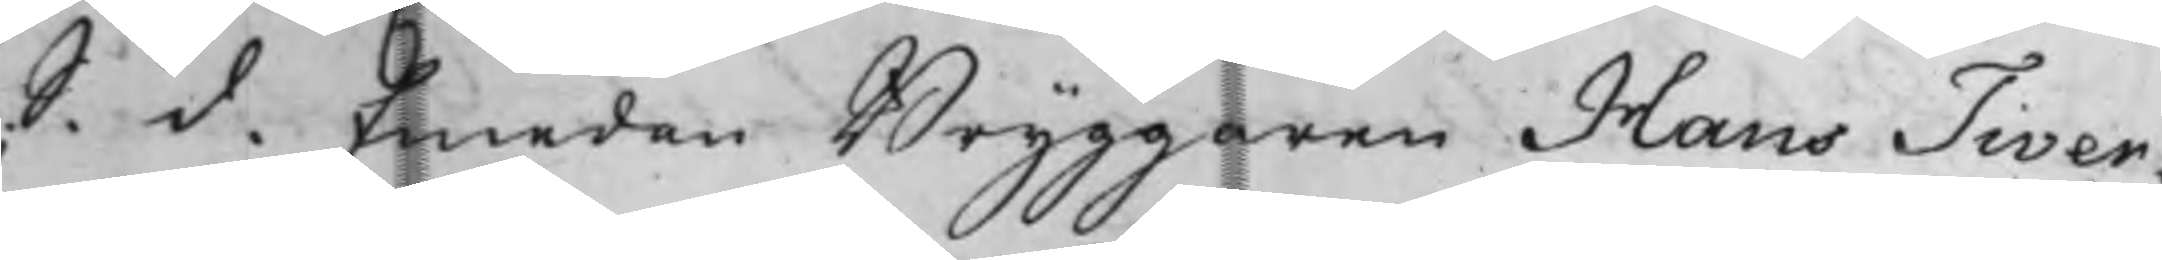S. d. Emedan Bryggaren Hans Tiver¬
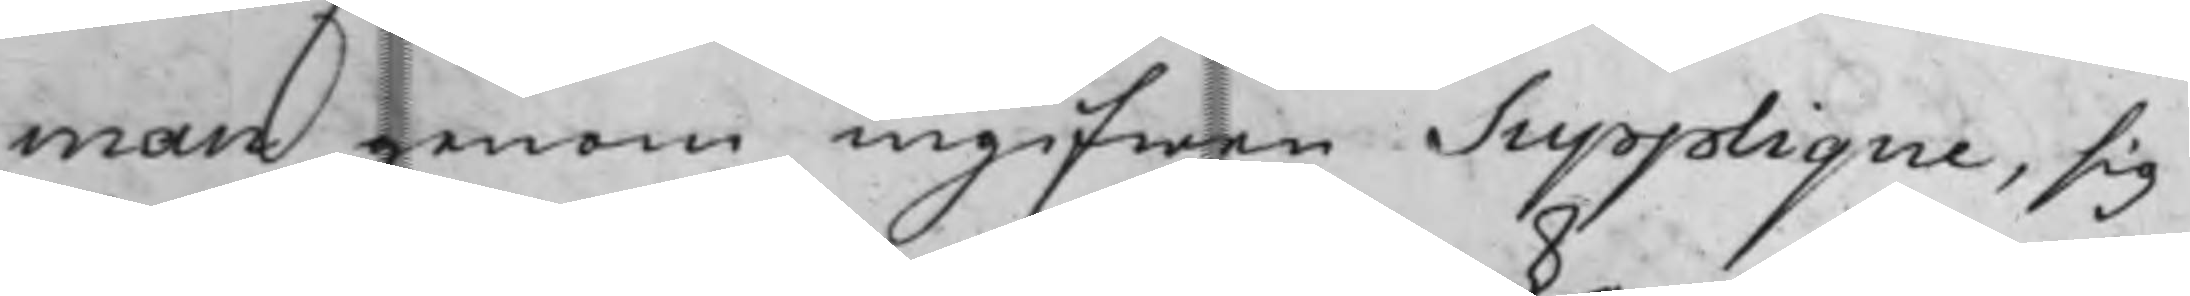man, genom ingifwen Supplique, sig
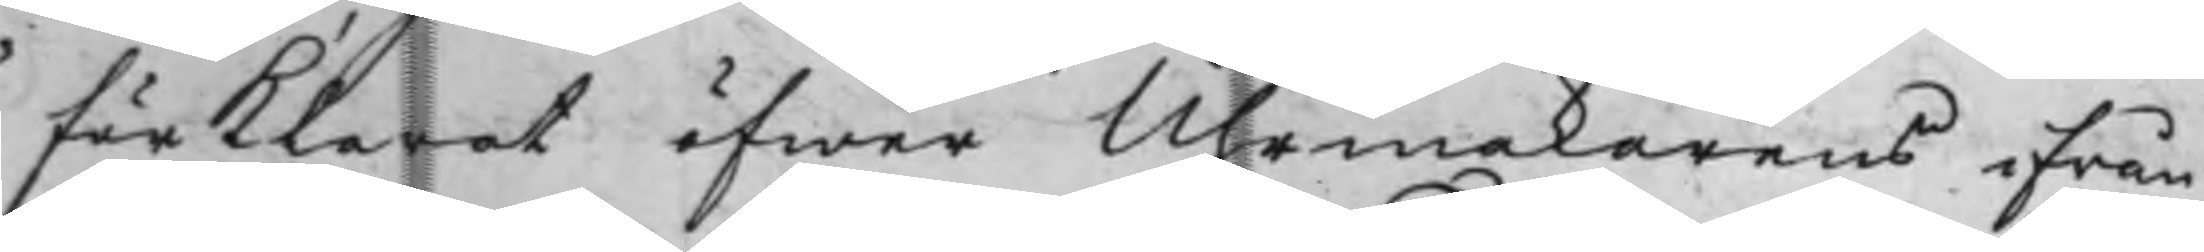förklarat öfwer Uhrmakarens ifrån
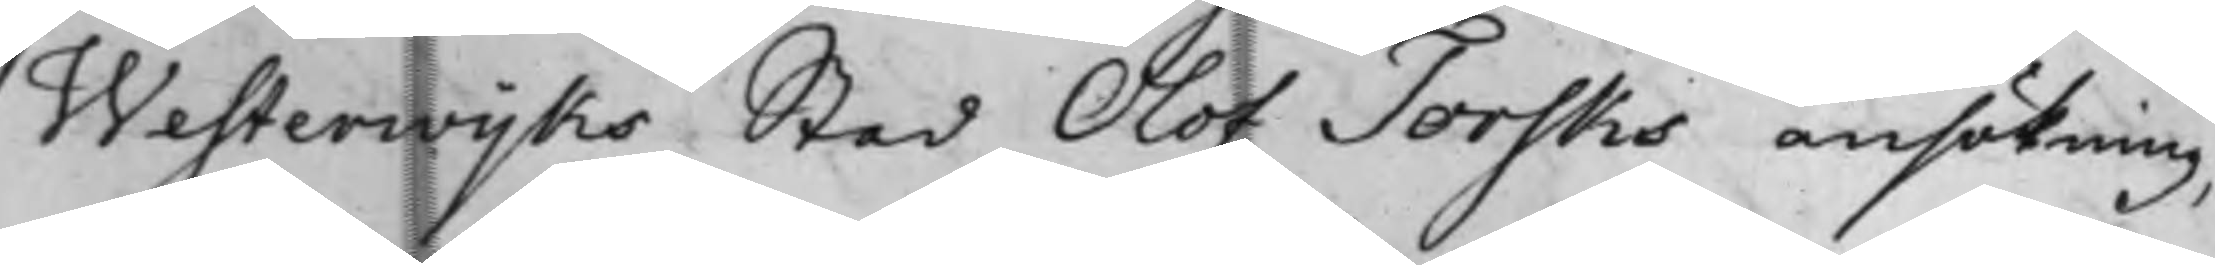Westerwijks Stad Olof Torsks ansökning,
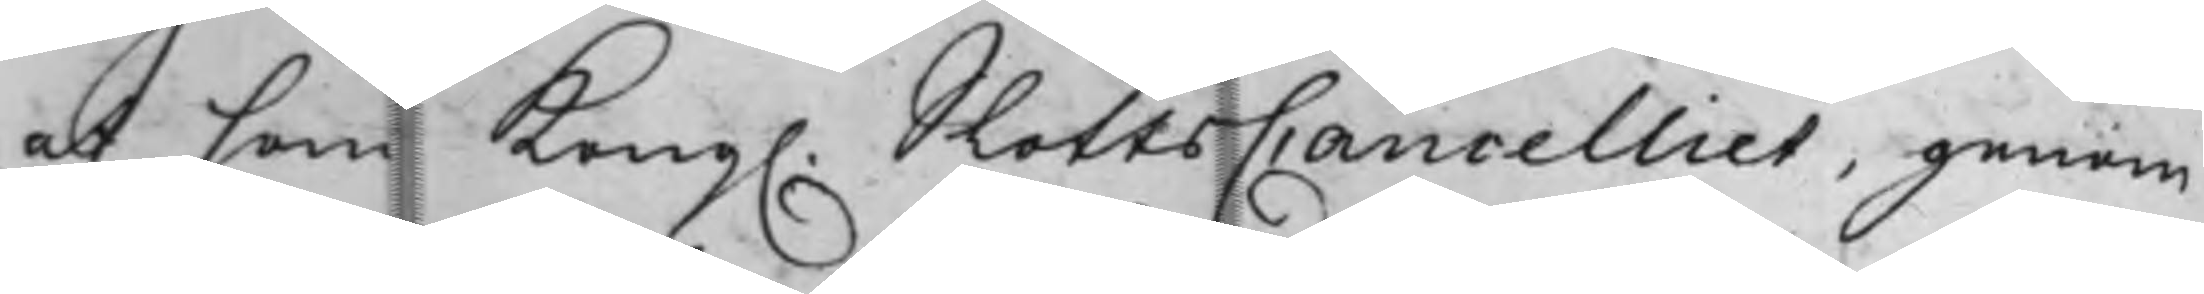at som Kong. SlottsCancelliet, genom
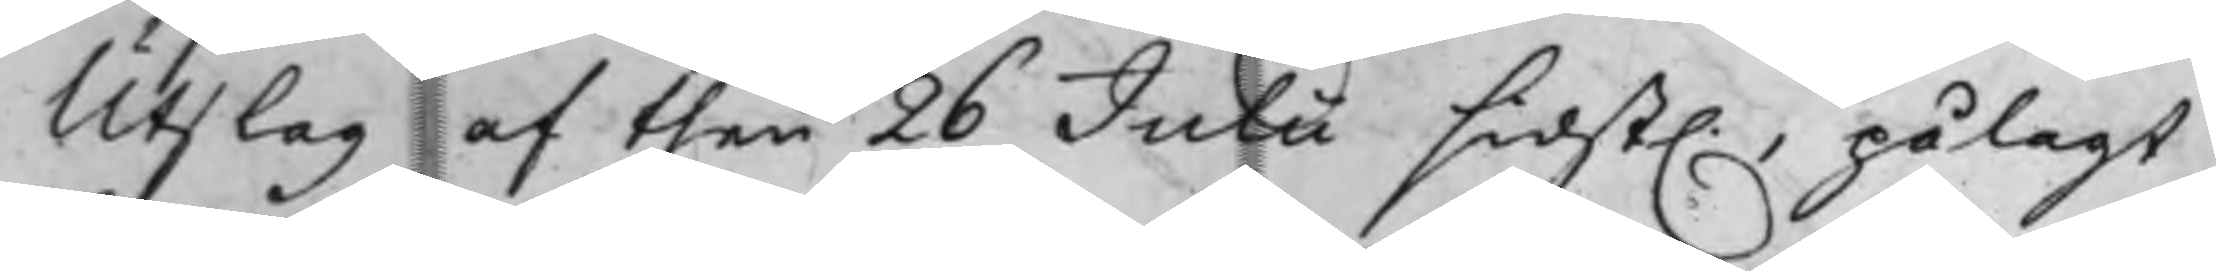Utslag af then 26 Julii sidst., pålagt
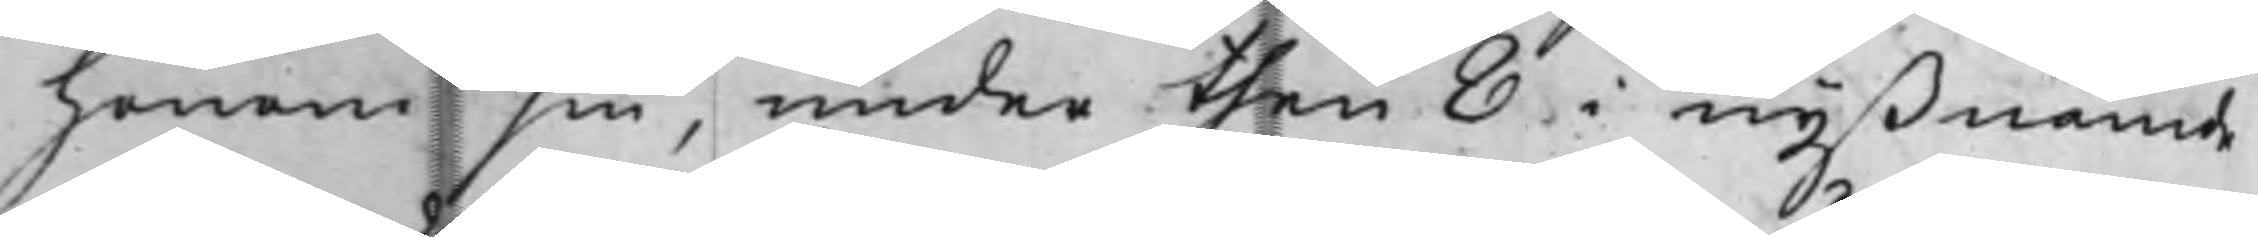honom sin, under then 8 i nyßnämde
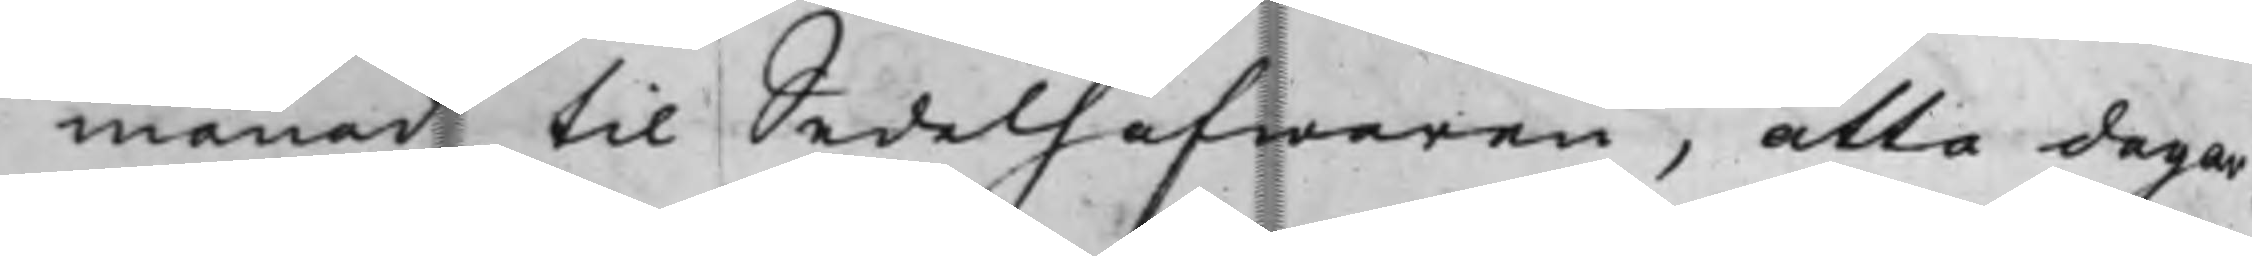månad til Sedelhafwaren, åtta dagar
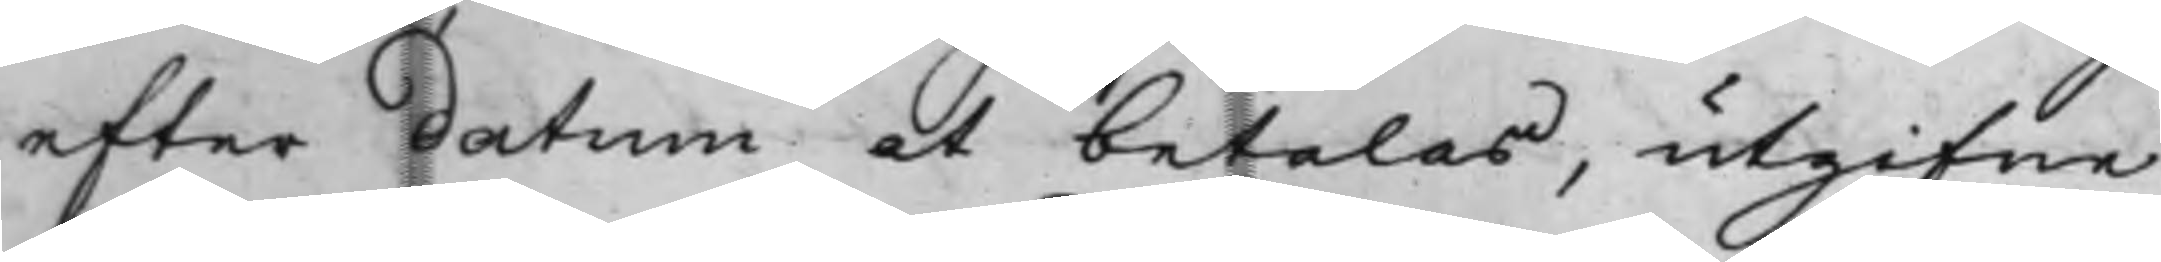efter datum at betalas, utgifne
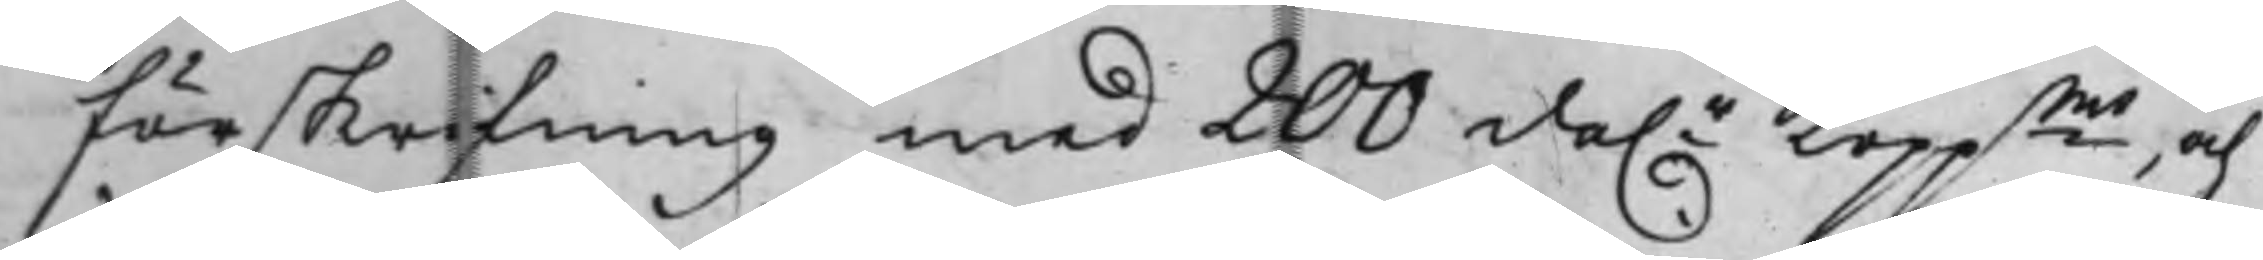förskrifning med 200 da.r Koppmt, och
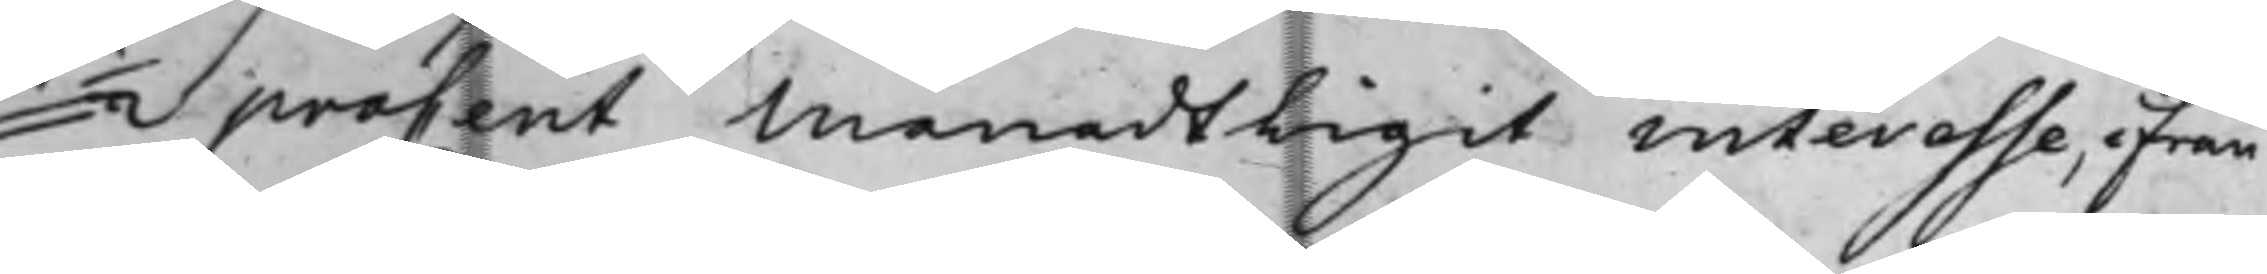½ proCent Månadtligit interesse, ifrån
